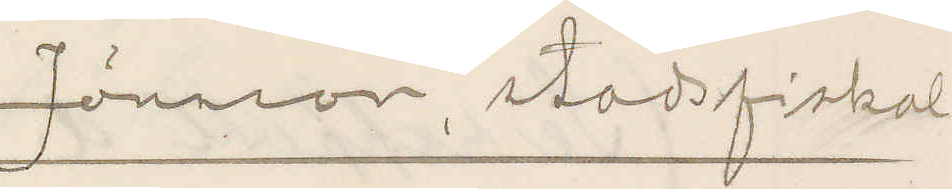Jönsson, stadsfiskal
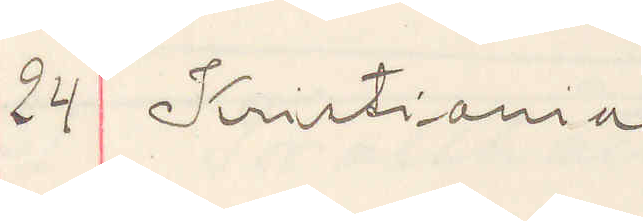24 Kristiania
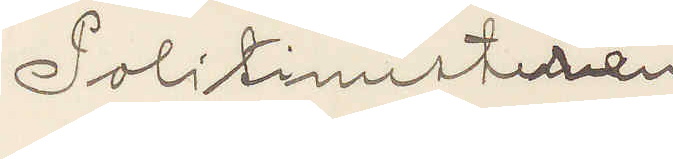Politimesteren
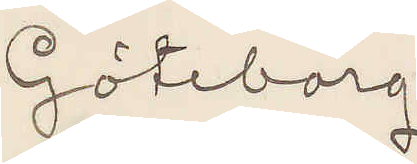Göteborg
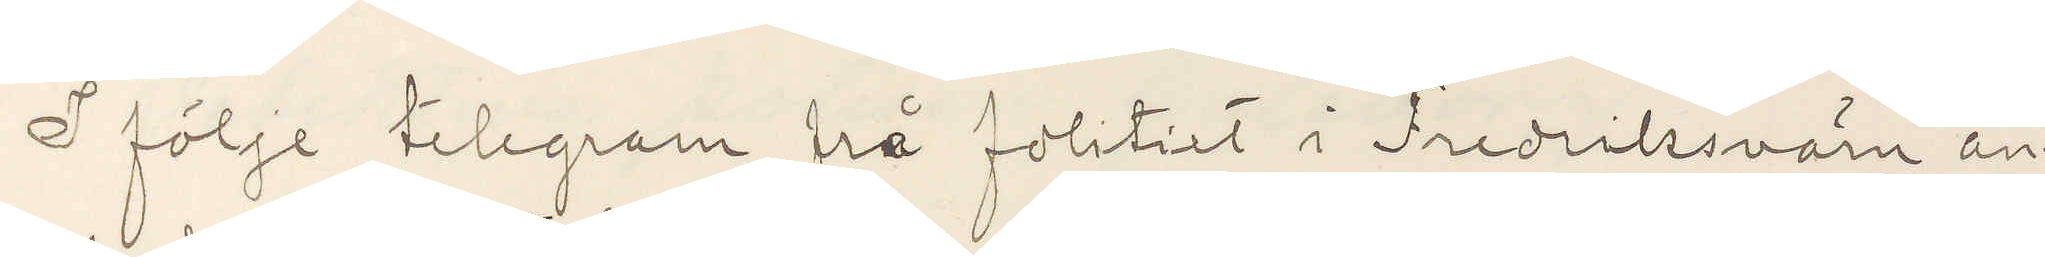I följe telegram frå politiet i Fredriksvärn an¬
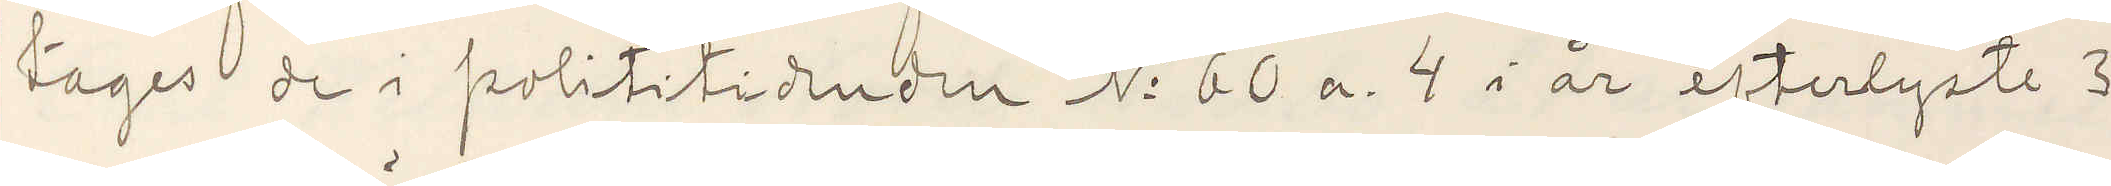tages de i polititidenden No 60 a 4 i år efterlyste 3
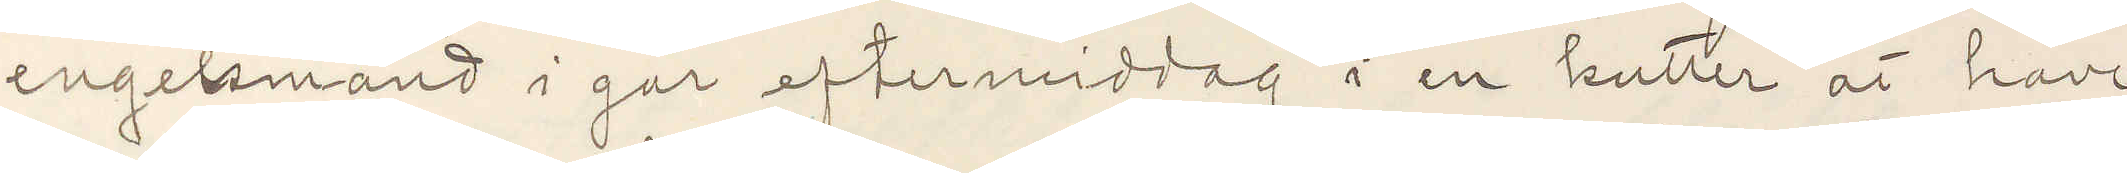engelsmänd i går eftermiddag i en kutter at have
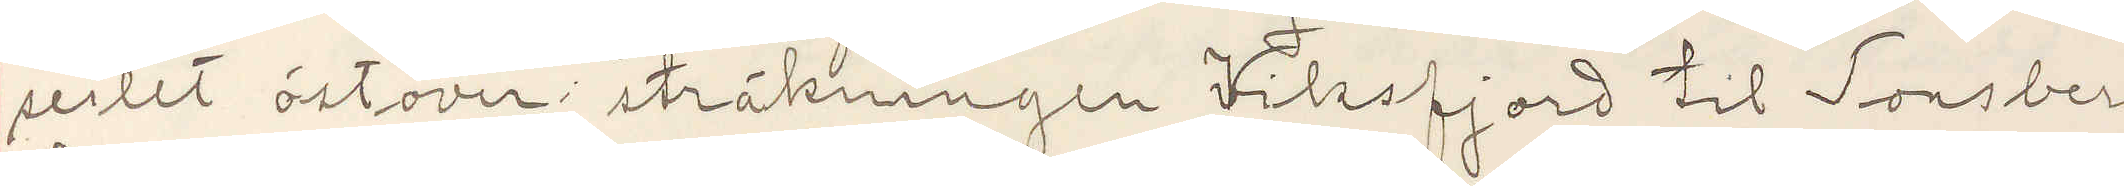seilet östover sträckningen Viksfjord til Tonsberg
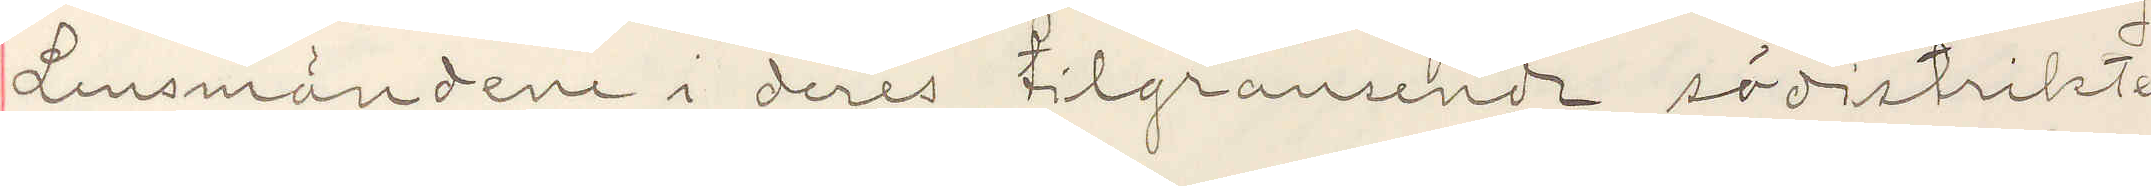Lensmänden i deras tilgramsendt södistrikter
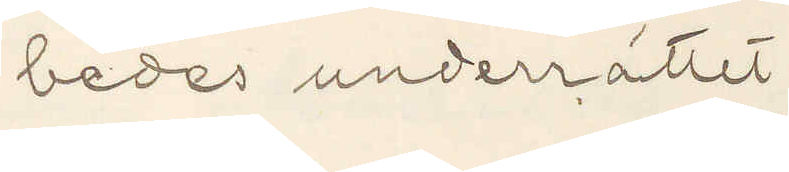bedes underrättet
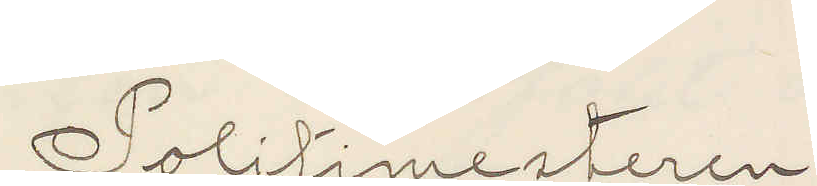Polismesteren
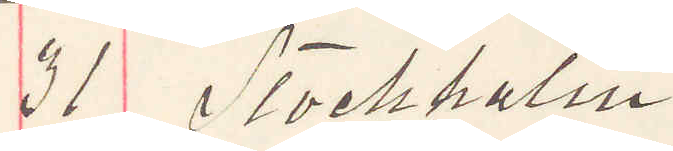31 Stockholm.
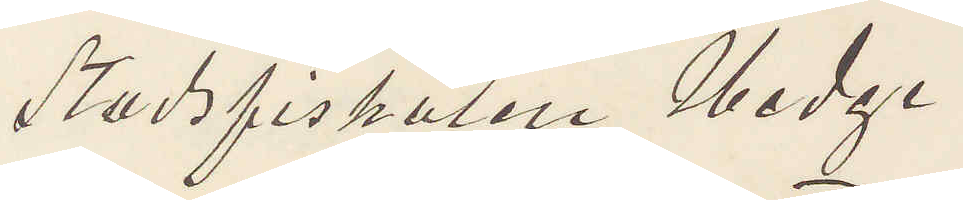Stadsfiskalen Hedge
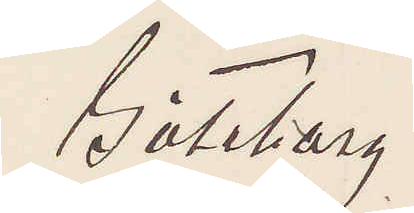Göteborg.
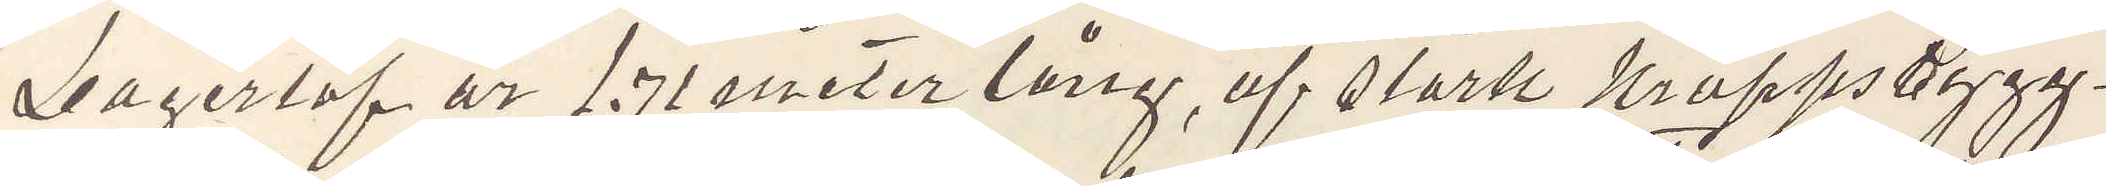Lagerlöf är 1.71 meter lång, af stark kroppsbygg¬
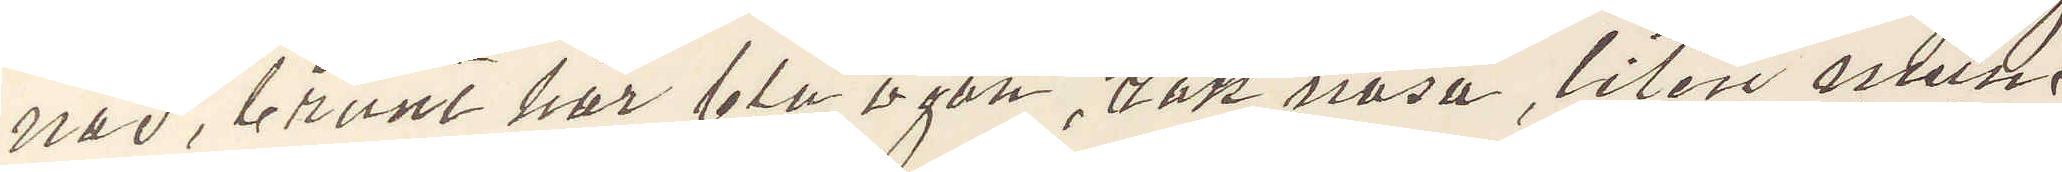nad, brunt hår, blå ögon, rak näsa, liten mun
